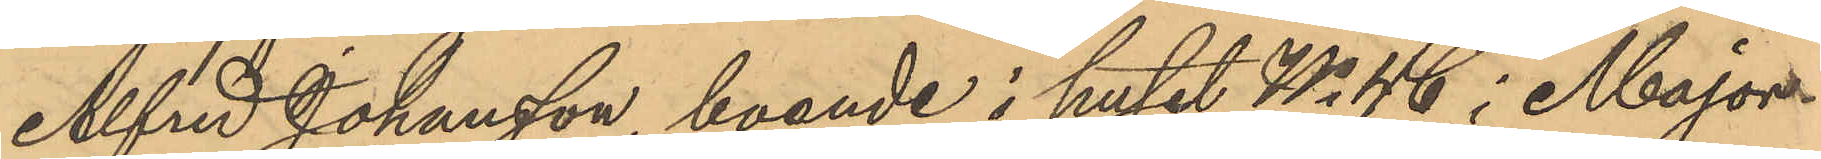Alfred Johansson, boende i huset No 46 i Major¬
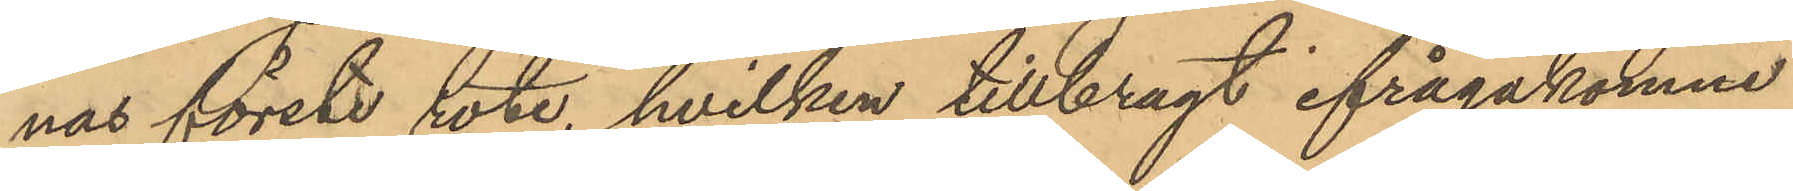nas förste rote, hvilken tillbragt ifrågakomne
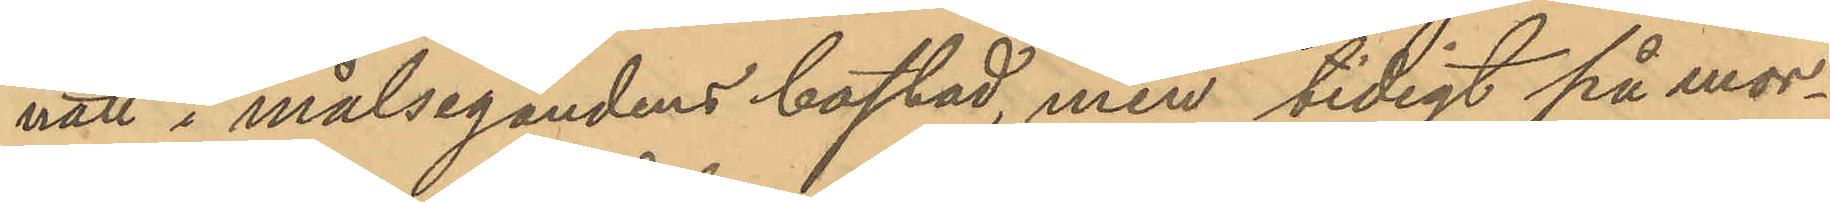natt i målsegandens bostad, men tidigt på mor¬
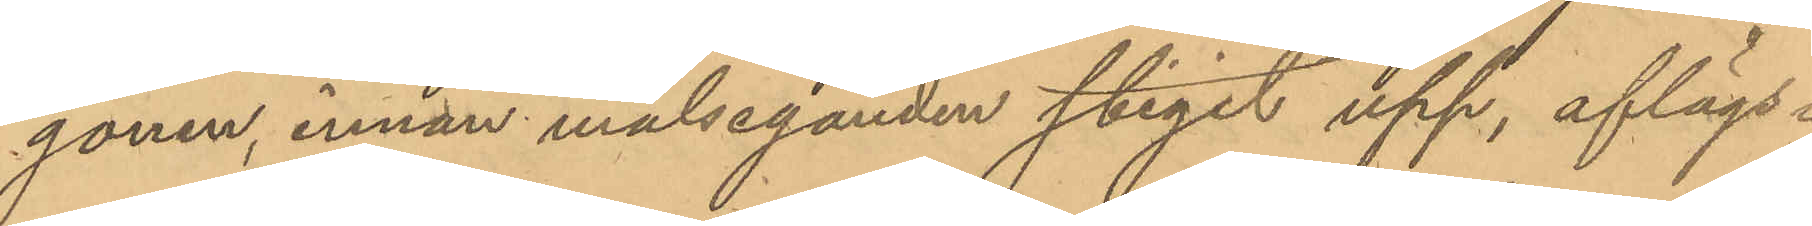gonen, innan målseganden stigit upp, aflägs¬
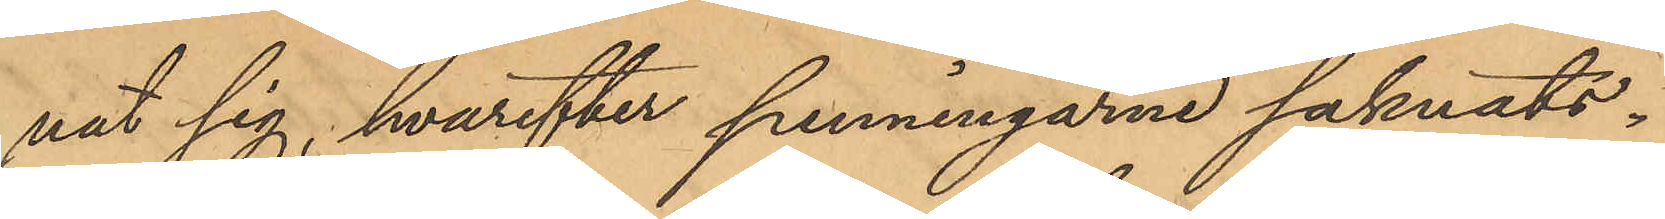nat sig hvarefter penningarne saknats.
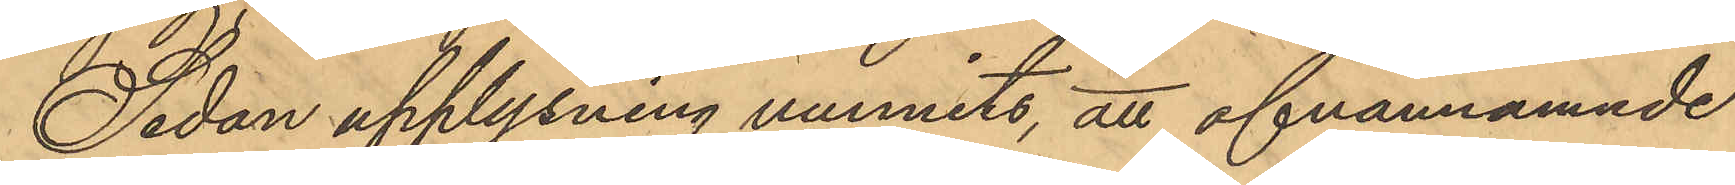Sedan upplysning hunnits, att ofvannämnde
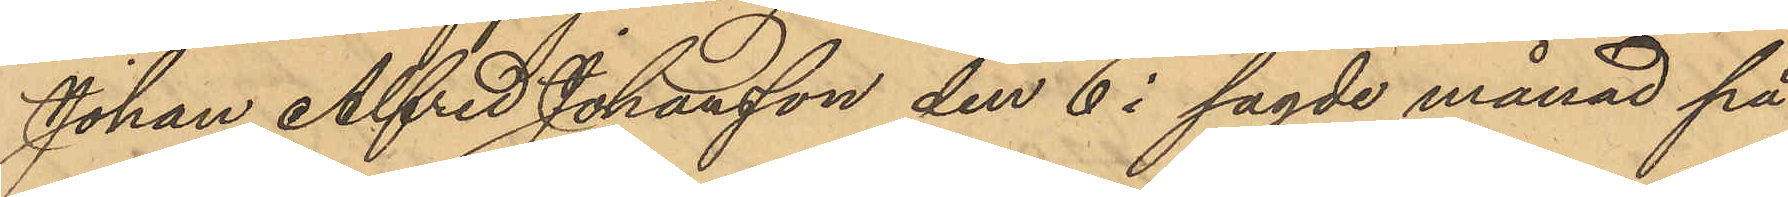Johan Alfred Johansson den 6 i sagde månad på
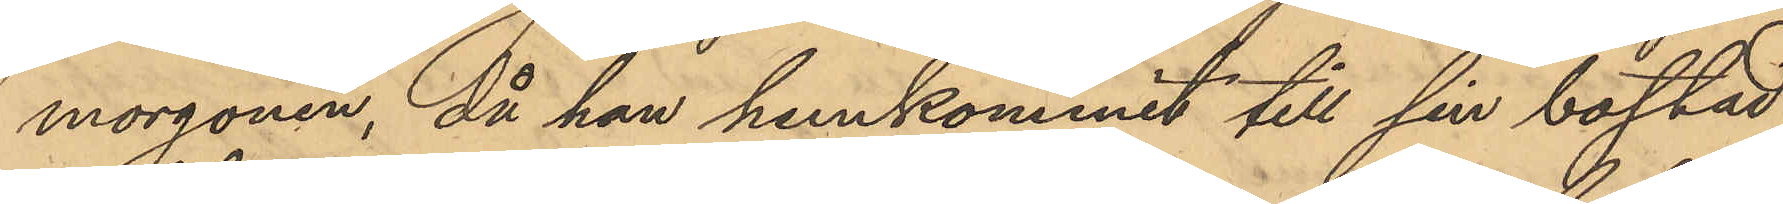morgonen, då han hemkommit till sin bostad
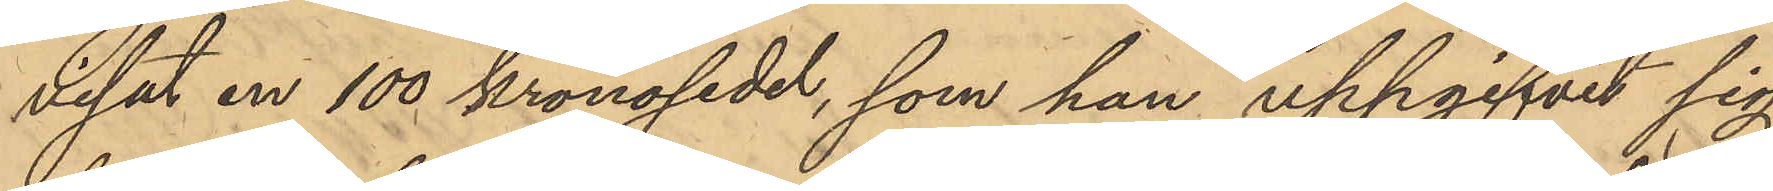visat en 100 kronosedel, som han uppgifvit sig
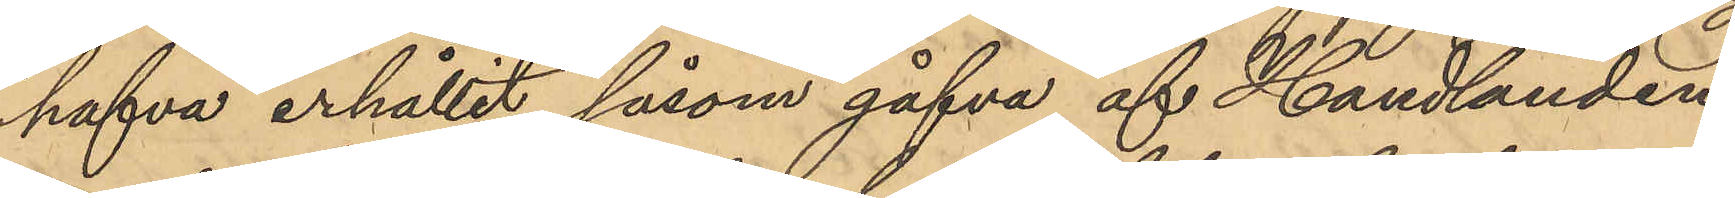hafva erhållit såsom gåfva af Handlanden
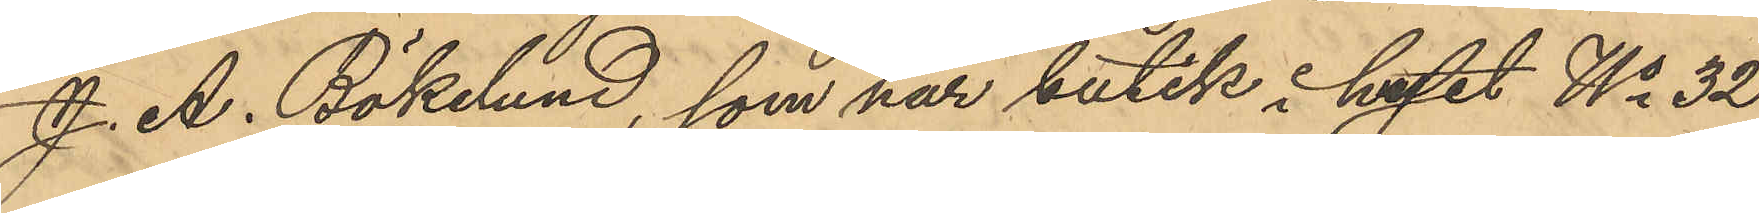J. A. Bökelund, som har butik i huset No 32
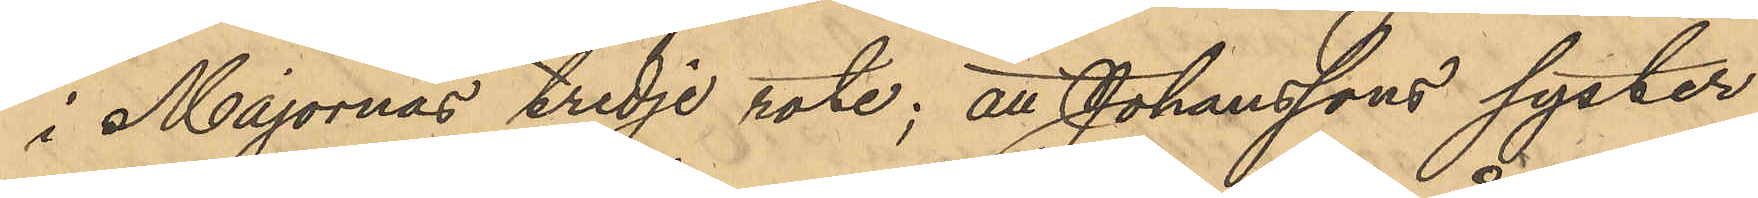i Majornas tredje rote; att Johanssons syster
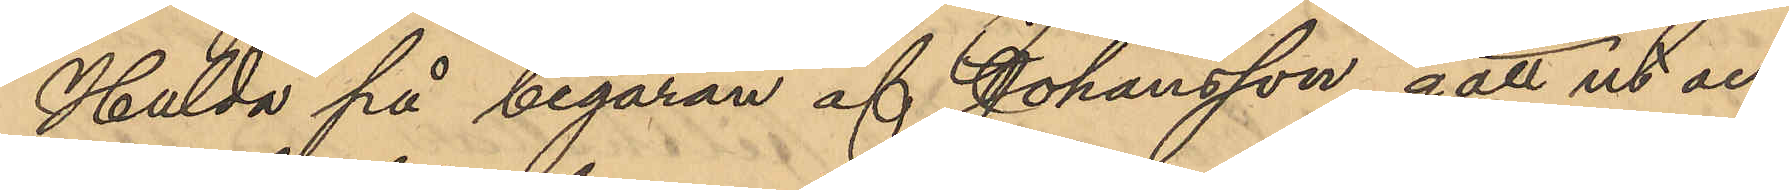Hulda på begäran af Johansson gått ut och
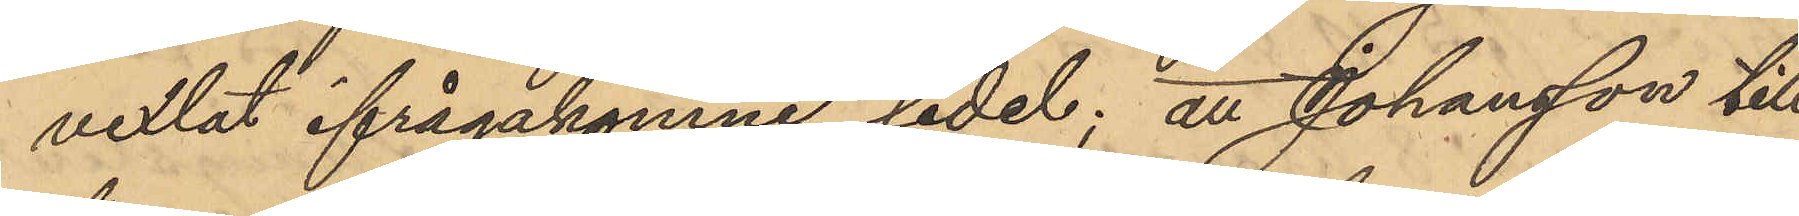vexlat ifrågakomne sedel; att Johansson till
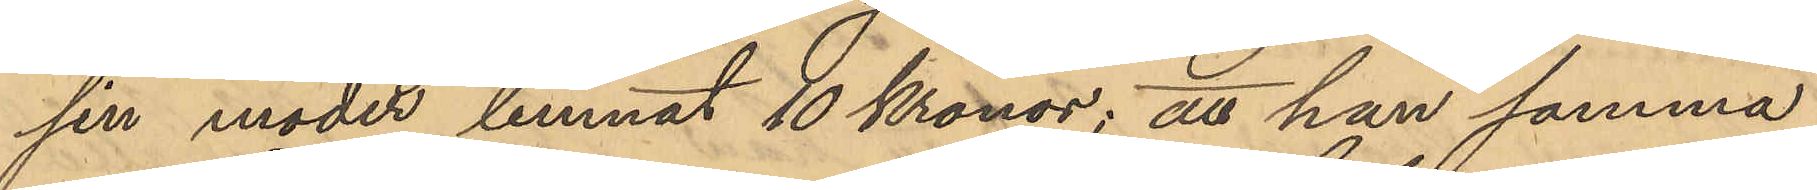sin moder lemnat 10 Kronor; att han samma
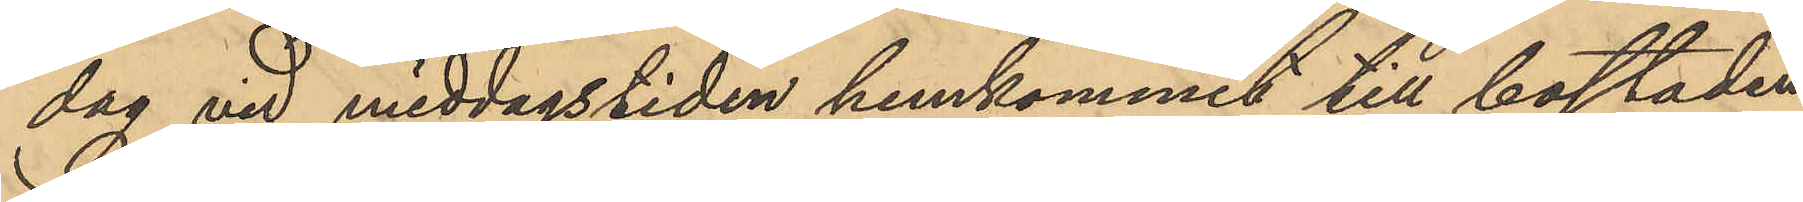dag vid middagstiden hemkommit till bostaden
